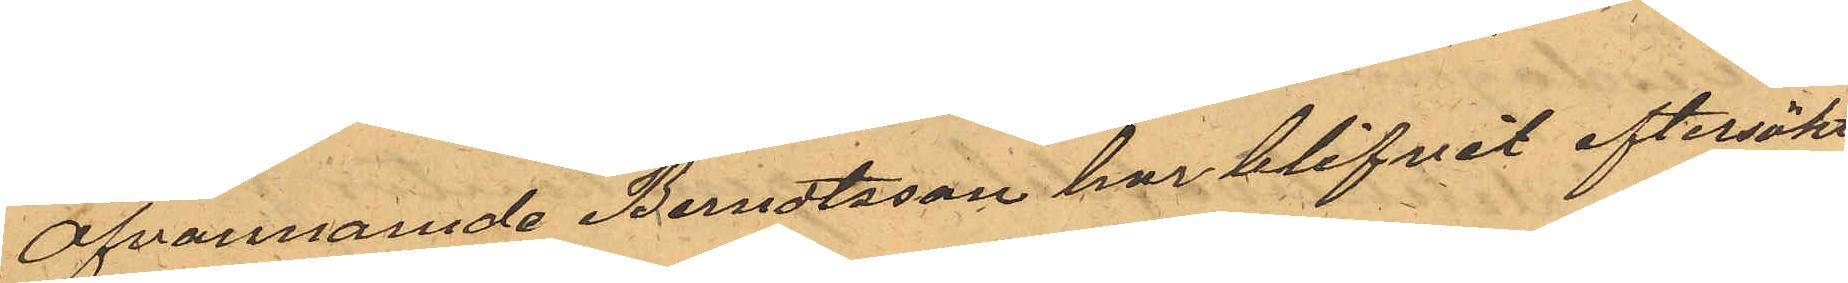Ofvannamde Berndtsson har blifvit eftersökt
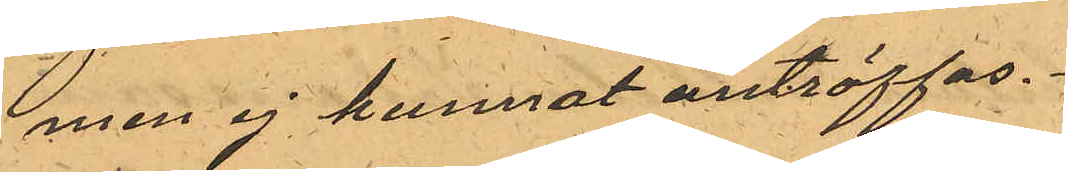men ej kunnat anträffas.
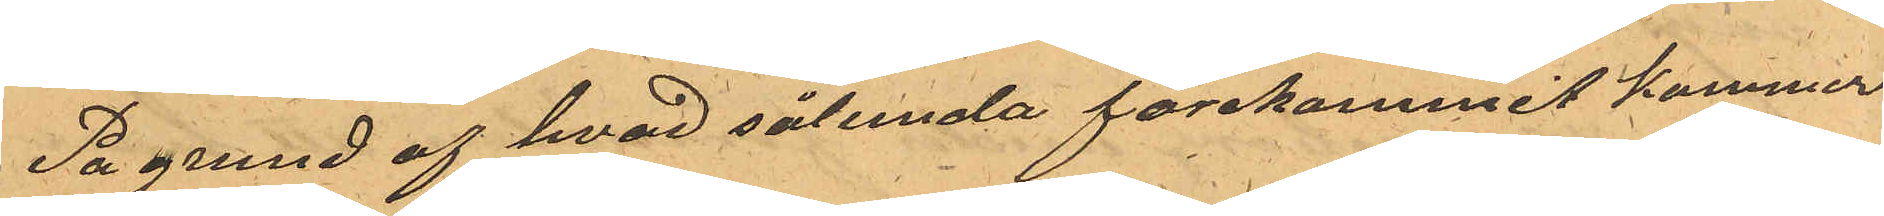På grund af hvad sålunda förekommit kommer
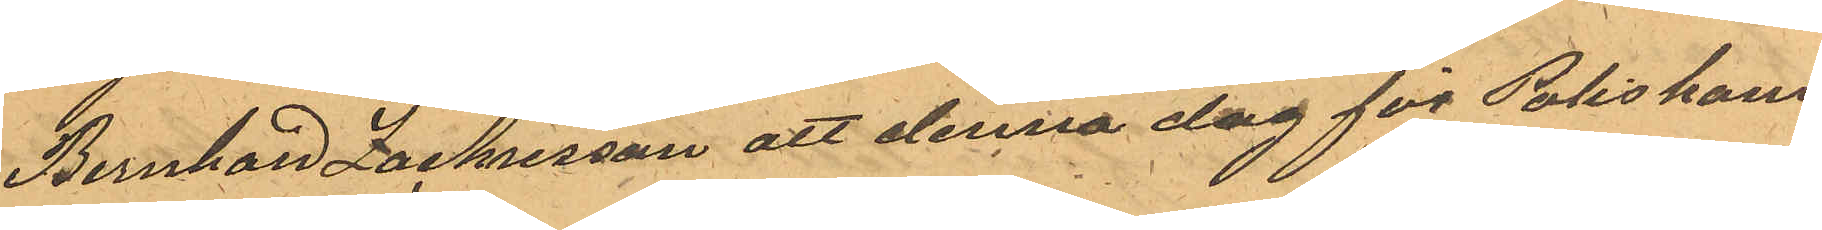Bernhard Zackrisson att denna dag för Poliskam¬
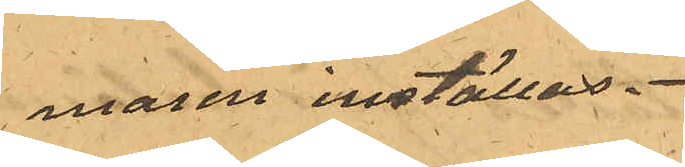maren inställas.
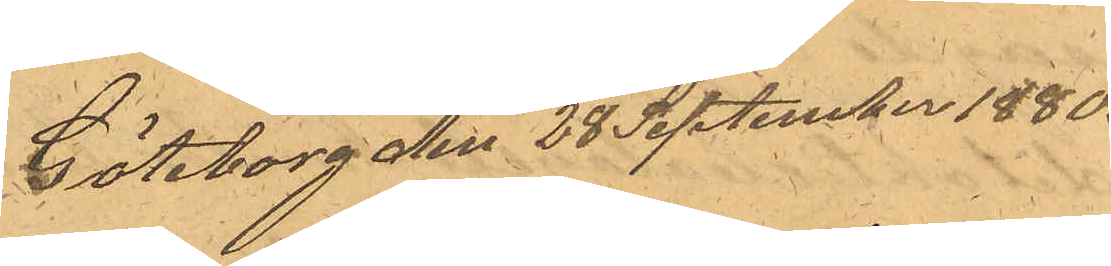Göteborg den 28 September 1880.
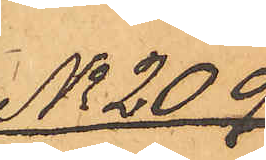No 209
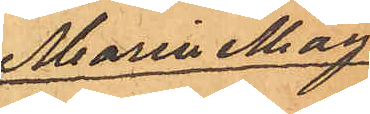Maria Mag¬
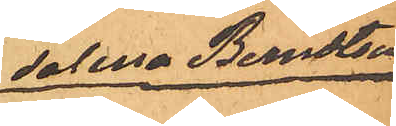dalena Berndtson
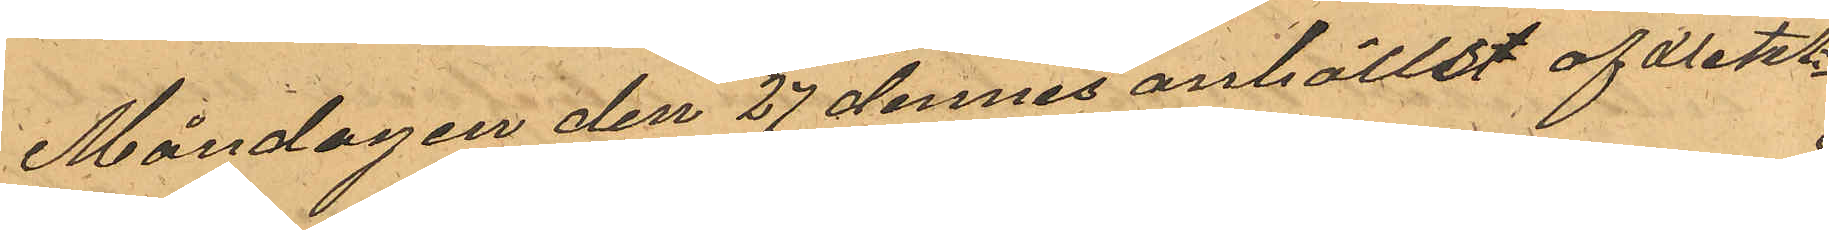Måndagen den 27 dennes anhöllst af Detek¬
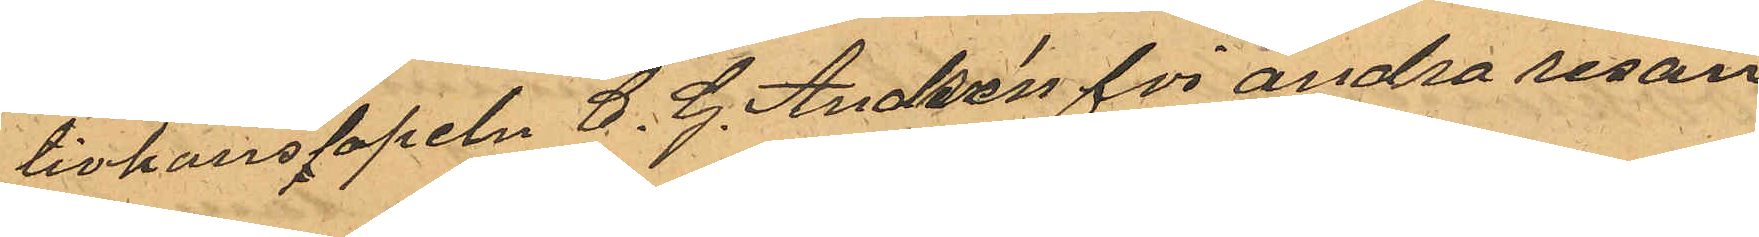tivkonstapeln C. G. Andrén för andra resan
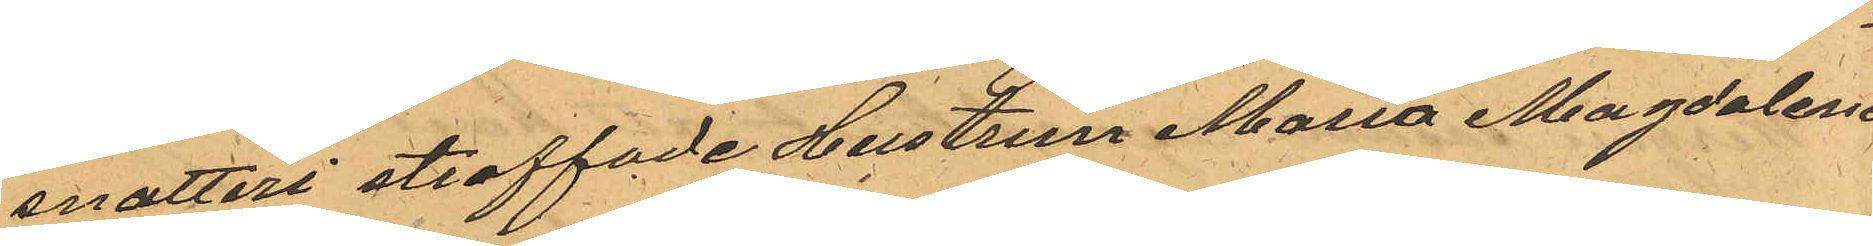snatteri straffade Hustrun Maria Magdalena
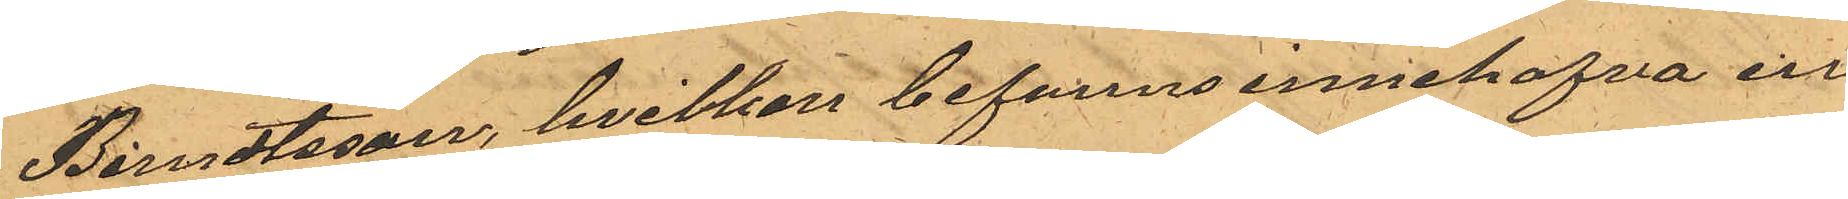Berndtsson, hvilken befanns innehafva en
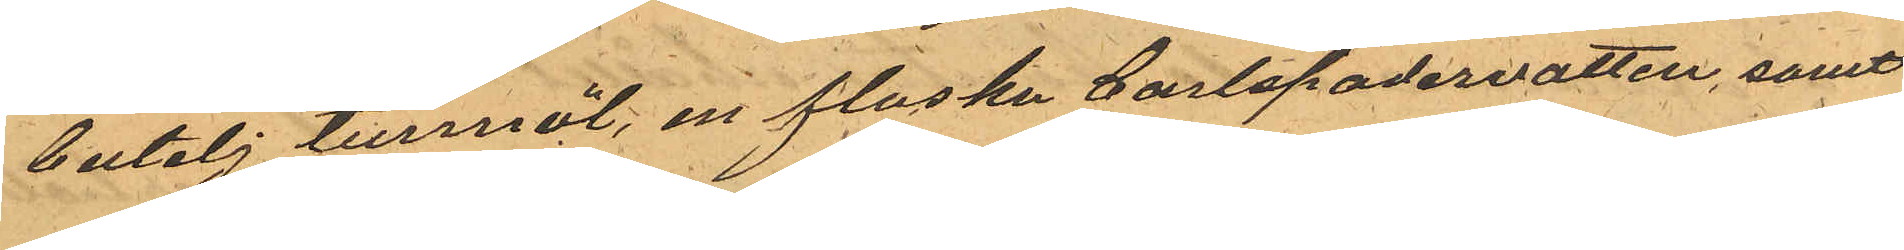butelj tunnöl, en flaska Carlspadervatten, samt
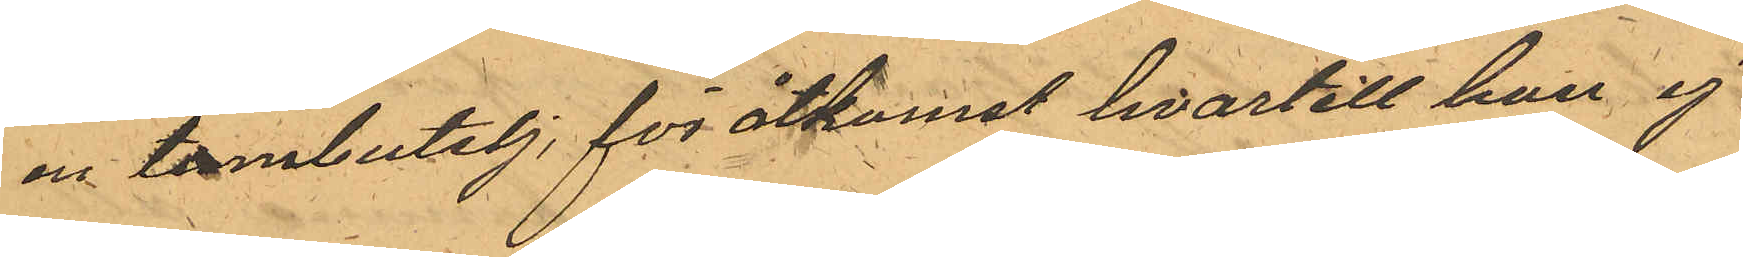en tombutelj, för åtkomst hvartill han ej
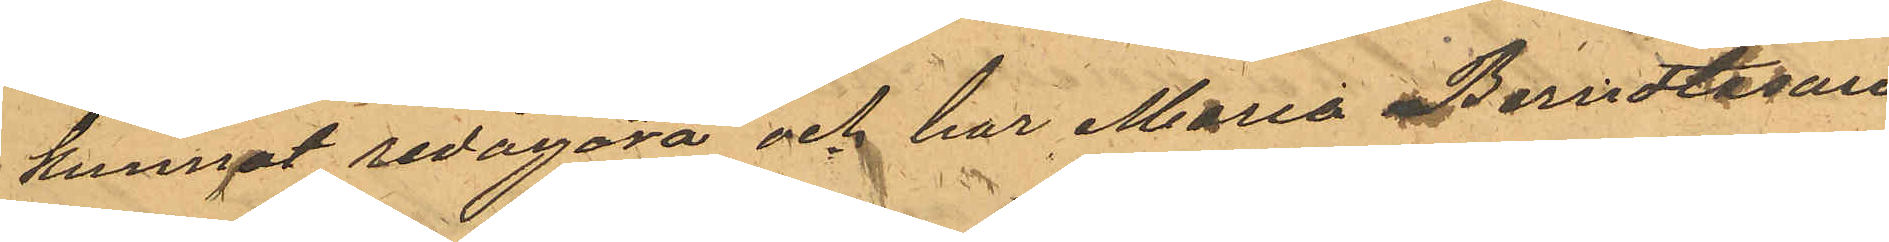kunnat redogöra och har Maria Berndtsson
